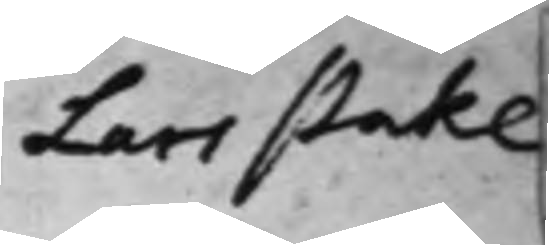Lars Stake
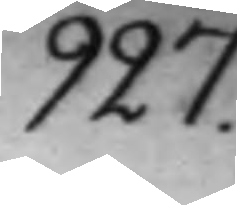927.
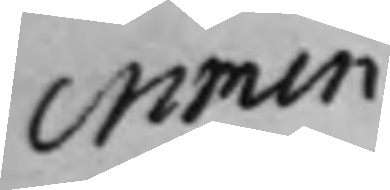crimin.
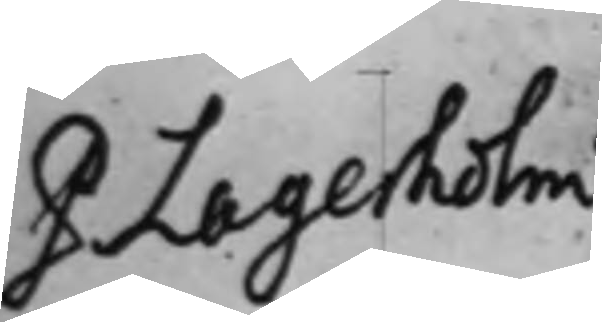P Lagerholm
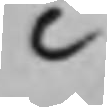C
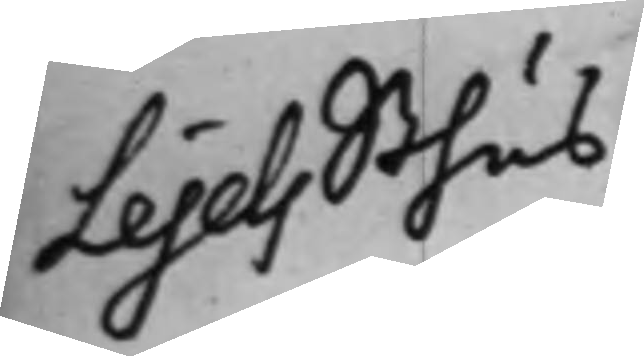Lejels Sthus
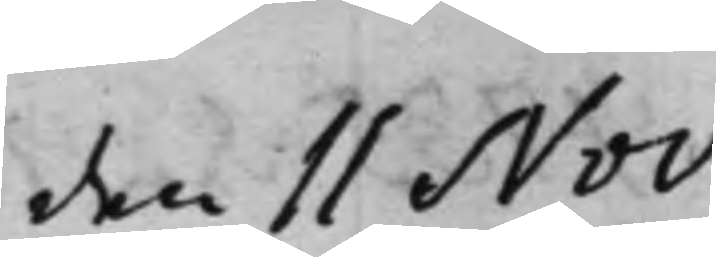den 11 Nov.
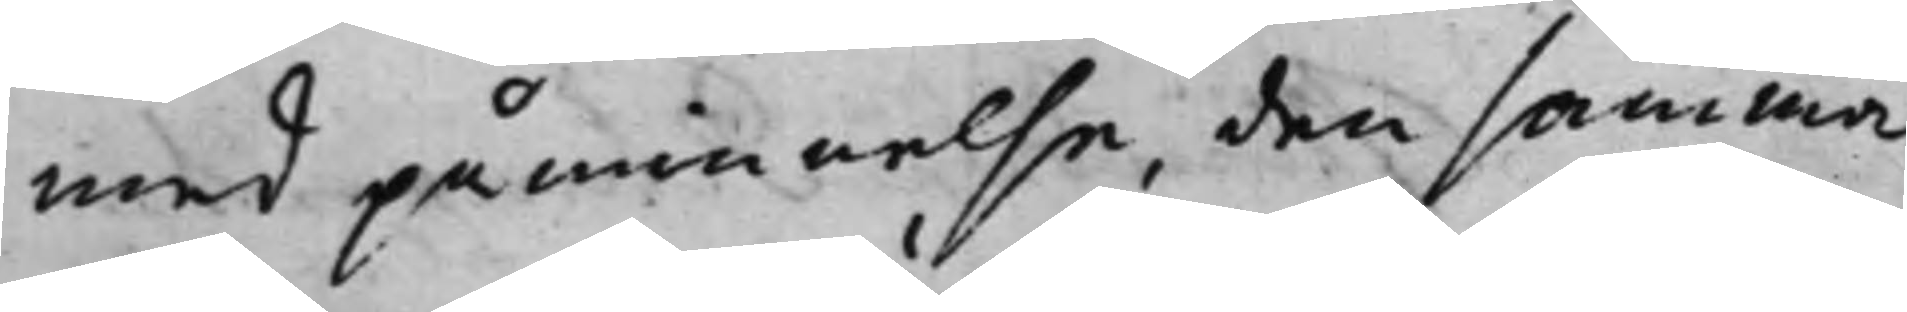med påminnelse, den samma
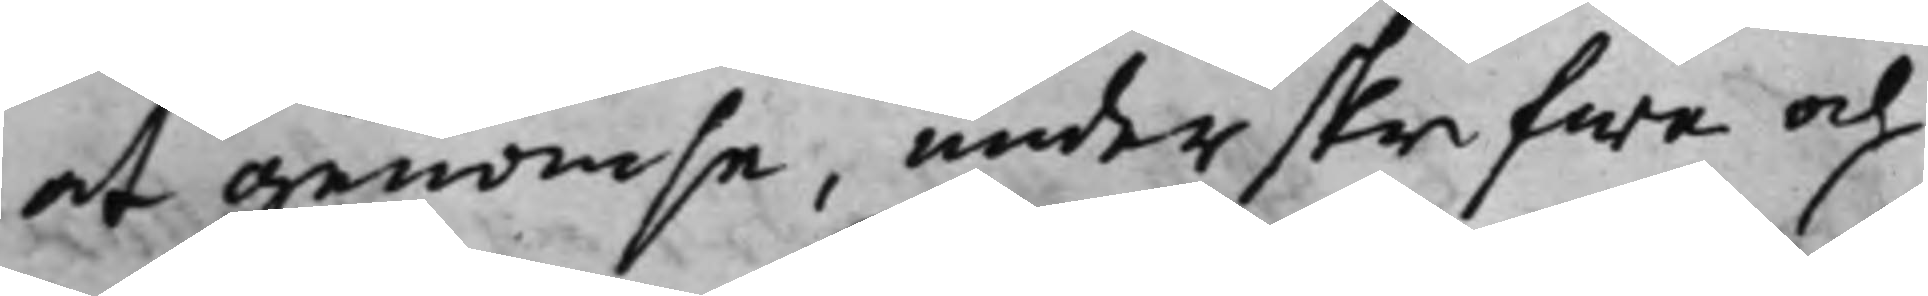at genomse, underskrifwa och
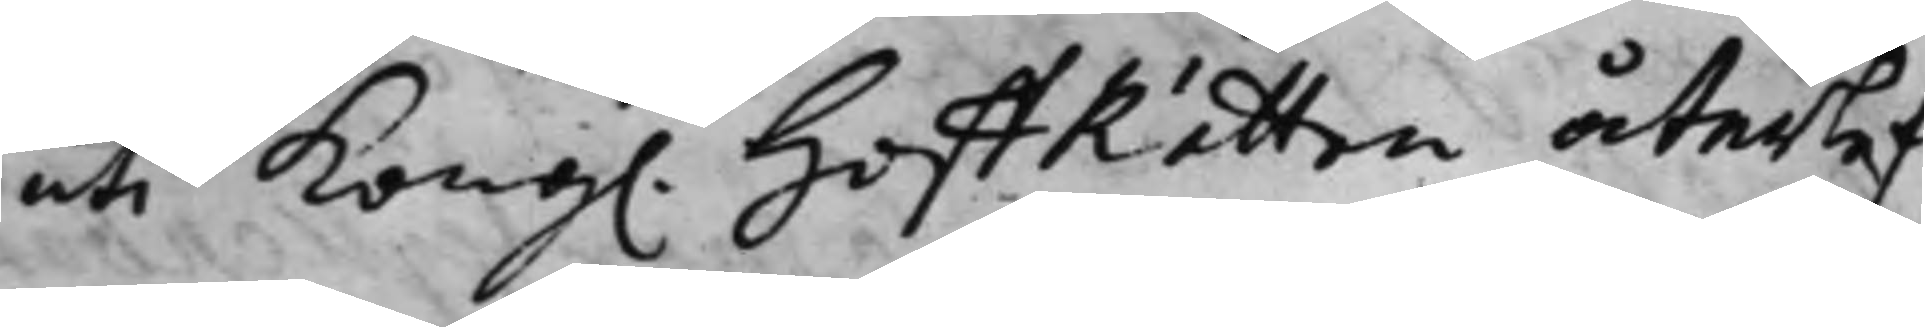uti Kong. HoffRätten återlef¬
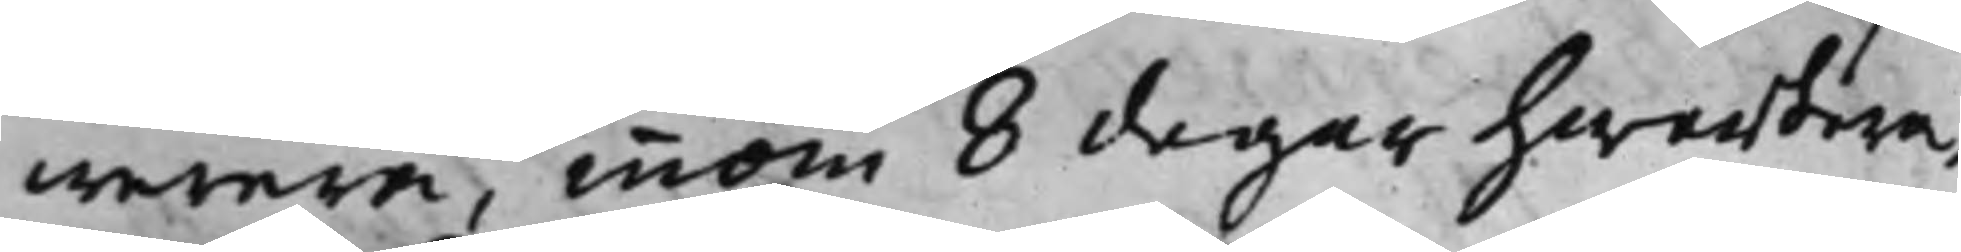werera, innom 8 dagar hwarthera,
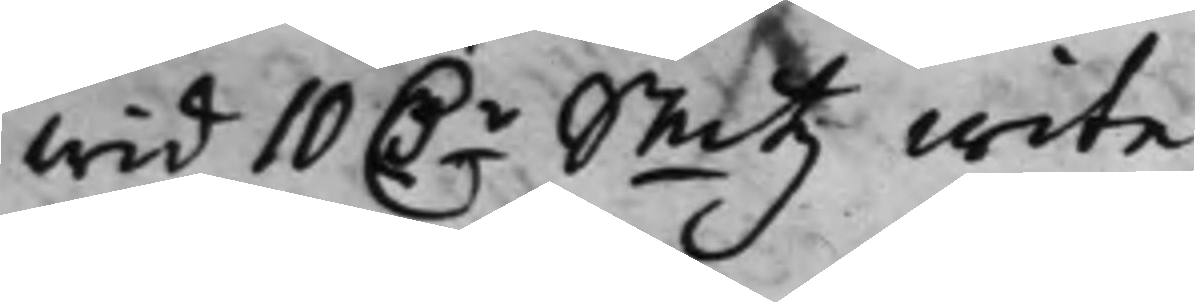wid 10 D.r Smtz wite.
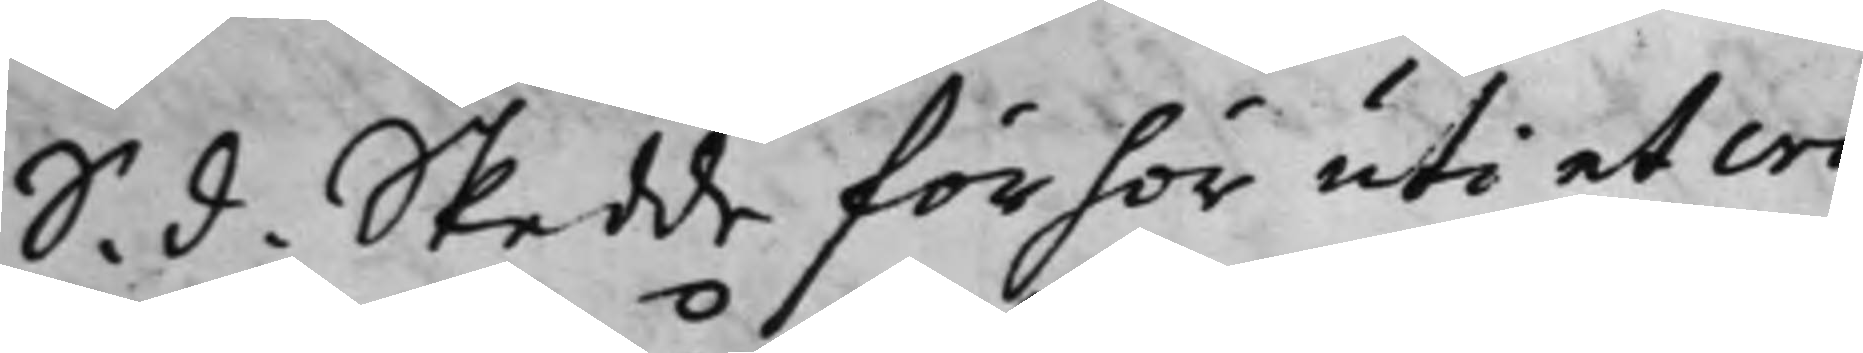S. d. Skedde förhör uti et cri¬
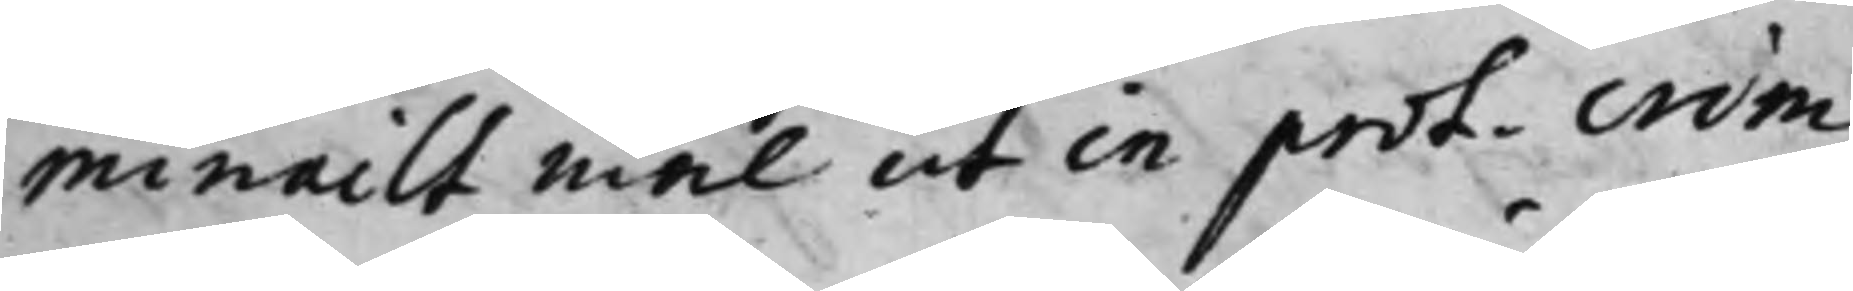minailt mål ut in prot. crim.
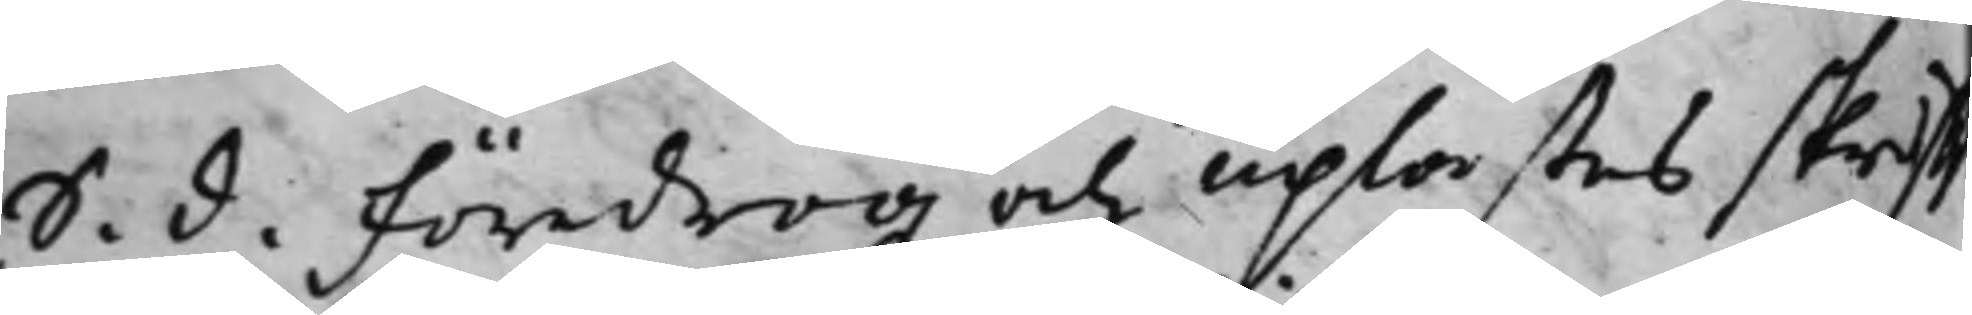S. d. Föredrogz och uplästes skrifft¬
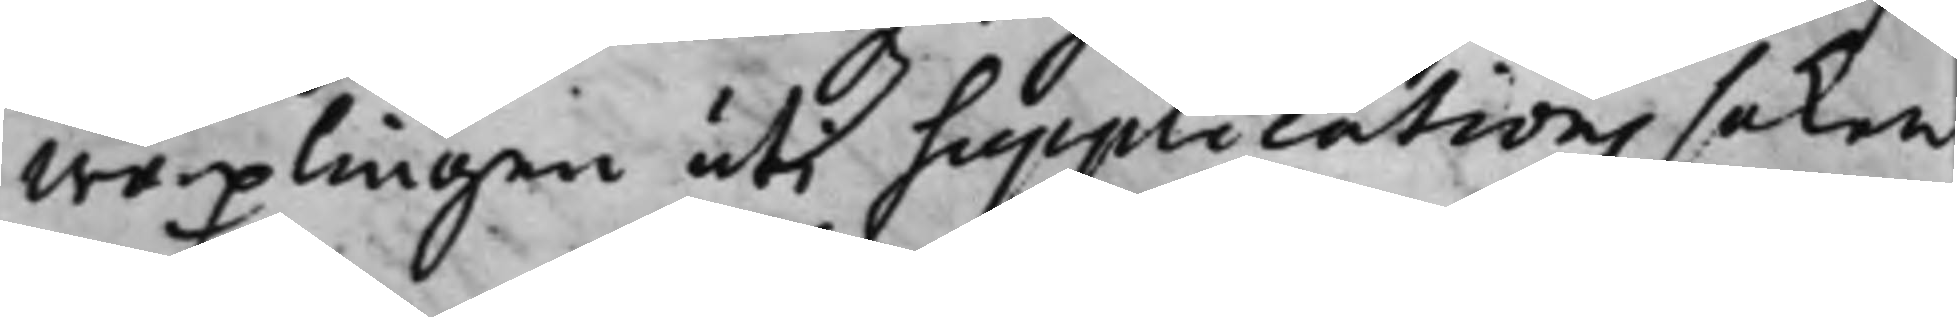wäxlingen uti supplications saken
